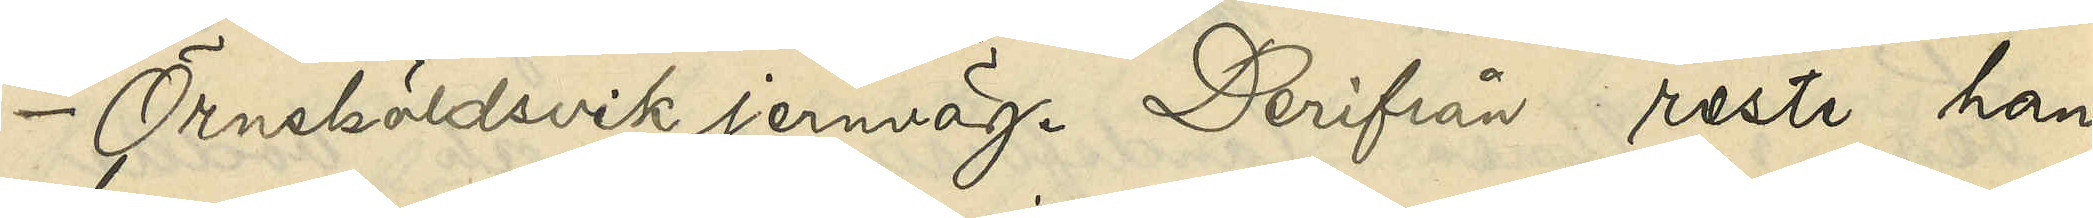-Örnsköldsvik jernväg. Derifrån reste han
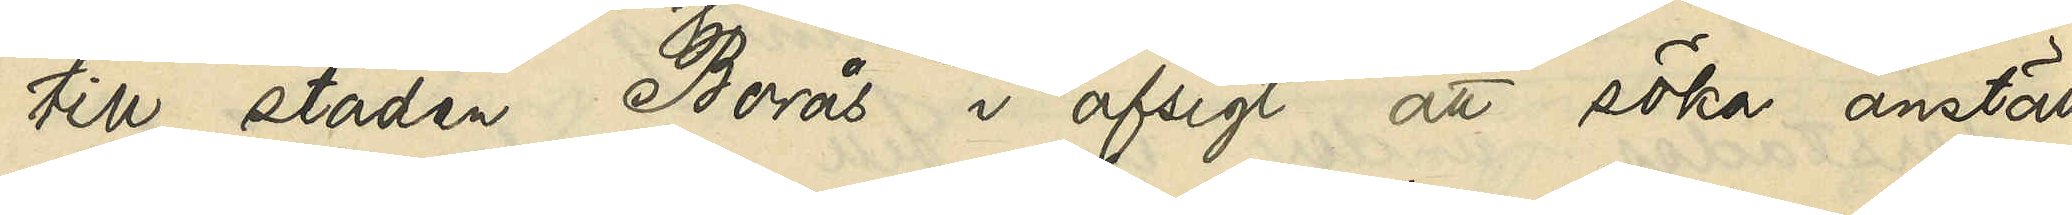till staden Borås i afsigt att söka anställ¬
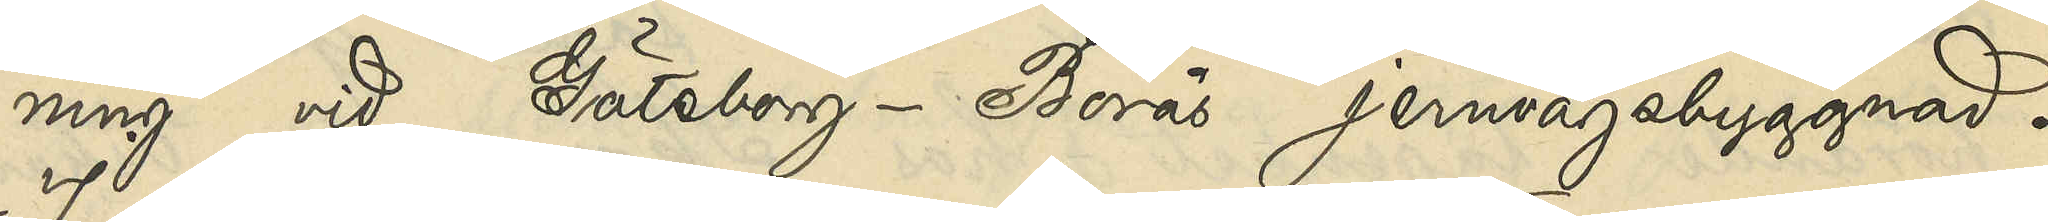ning vid Göteborg-Borås jernvägsbyggnad.
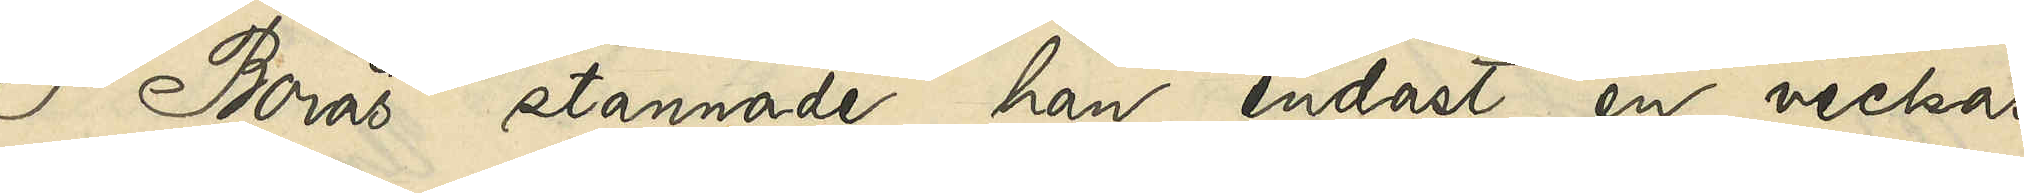I Borås stannade han endast en veckas
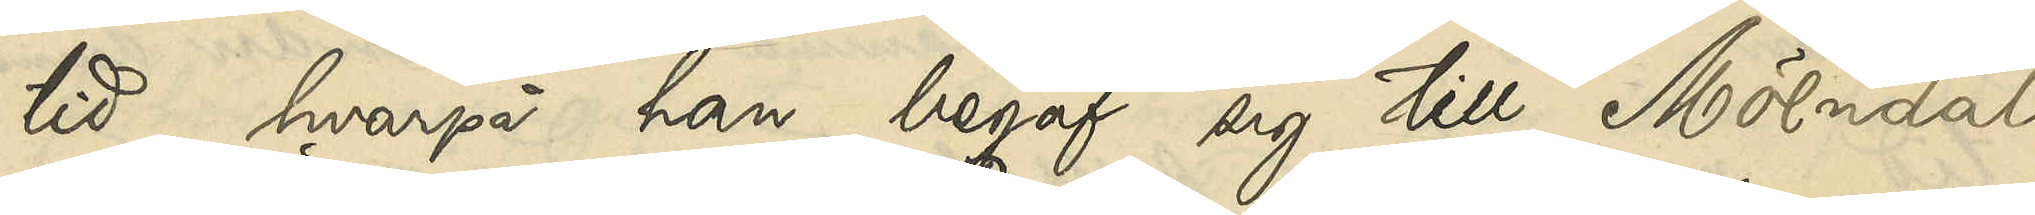tid, hvarpå han begaf sig till Mölndal
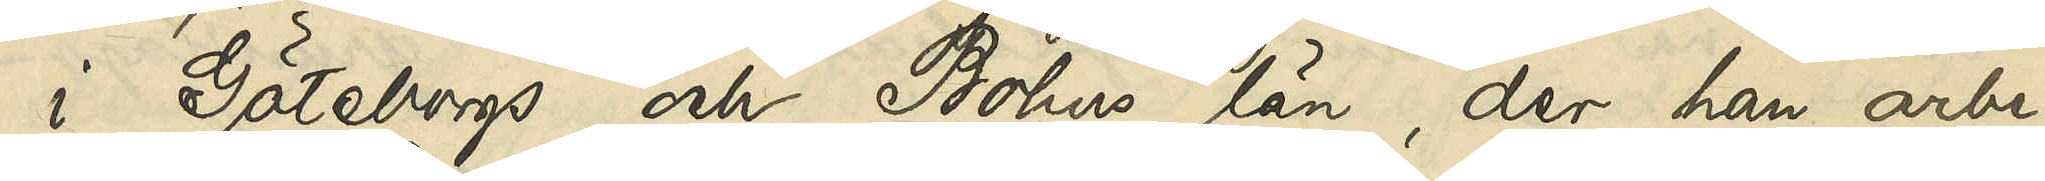i Göteborgs och Bohus län, der han arbe¬
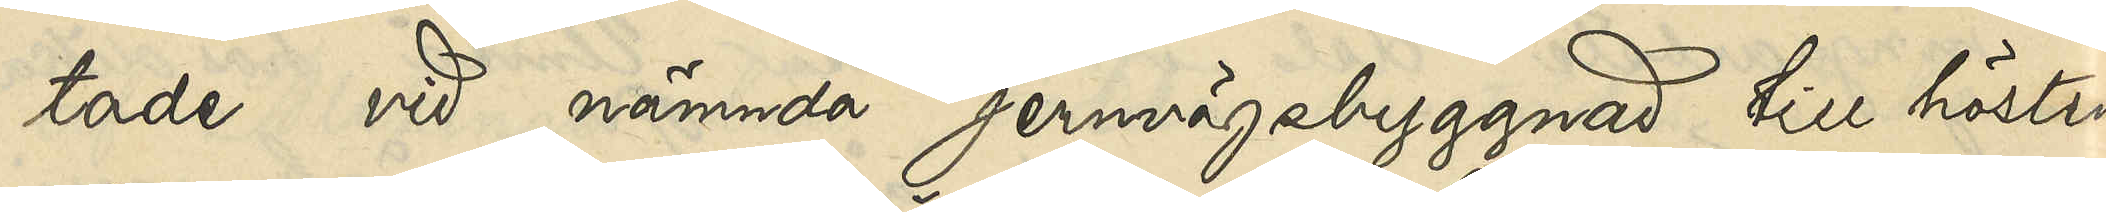tade vid nämnda jernvägsbyggnad till hösten
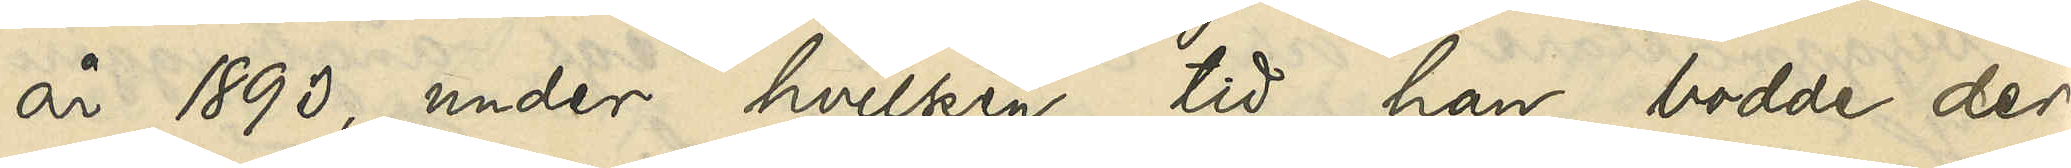år 1893, under hvilken tid han bodde der¬
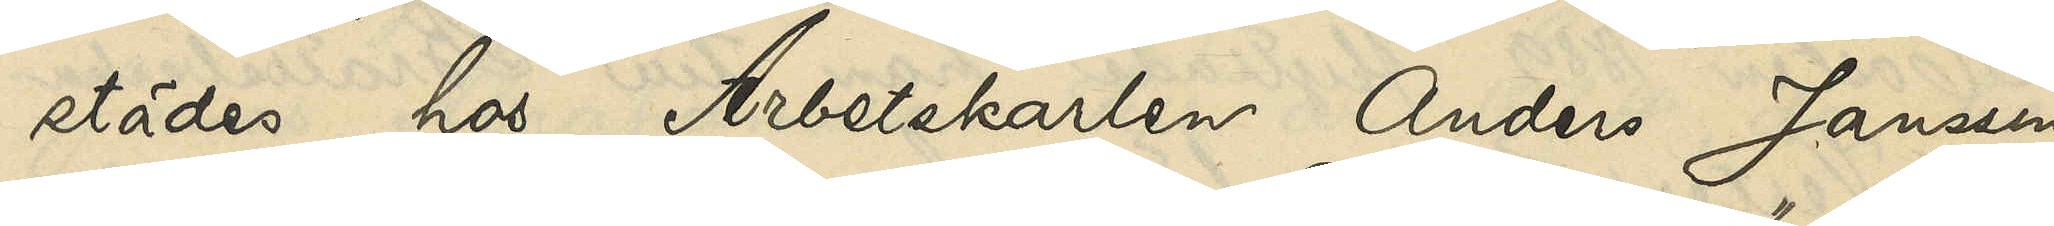städes hos Arbetskarlen Anders Jansson
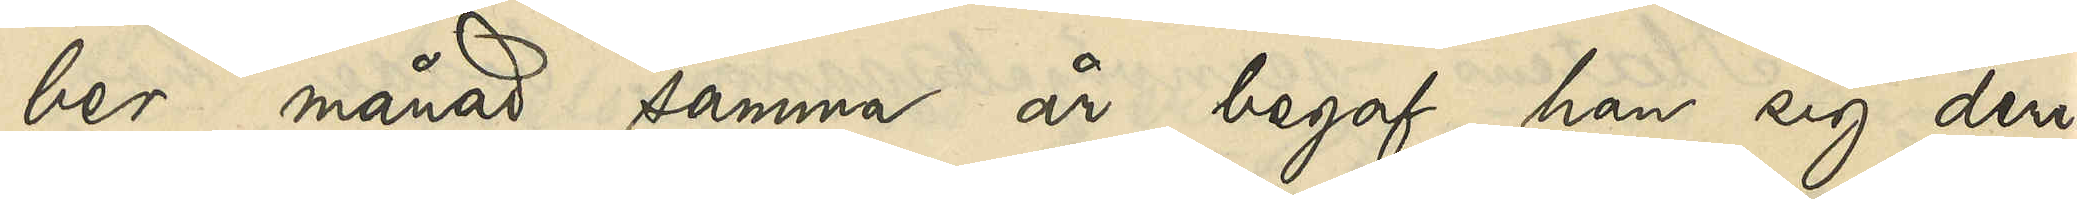ber månad samma år begaf han sig deri¬
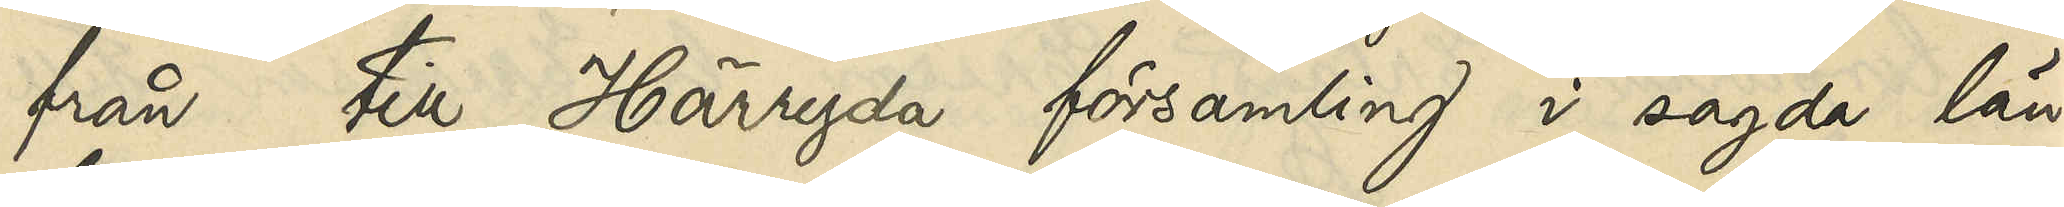från till Härryda församling i sagda län,
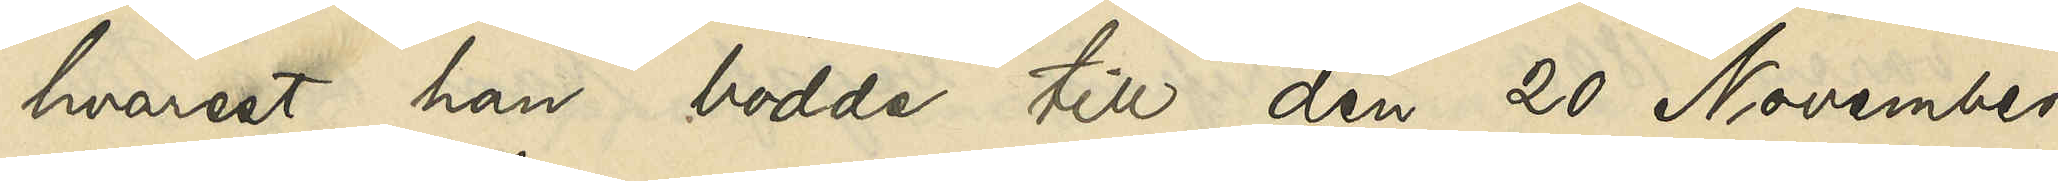hvarest han bodde till den 20 November
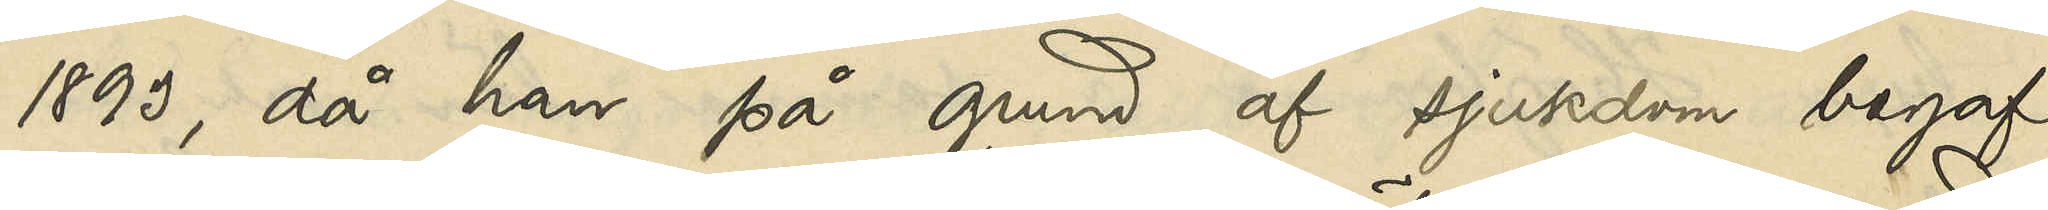1893, då han på grund af sjukdom begaf
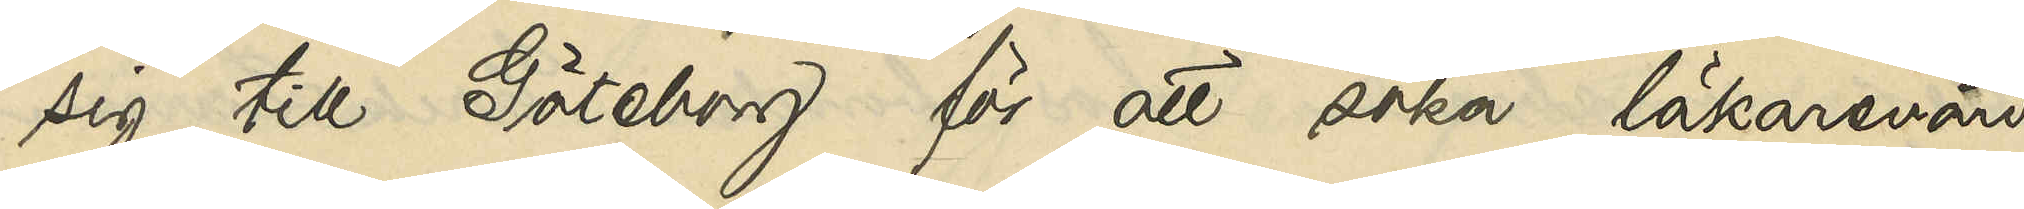sig till Göteborg för att söka läkarevård.
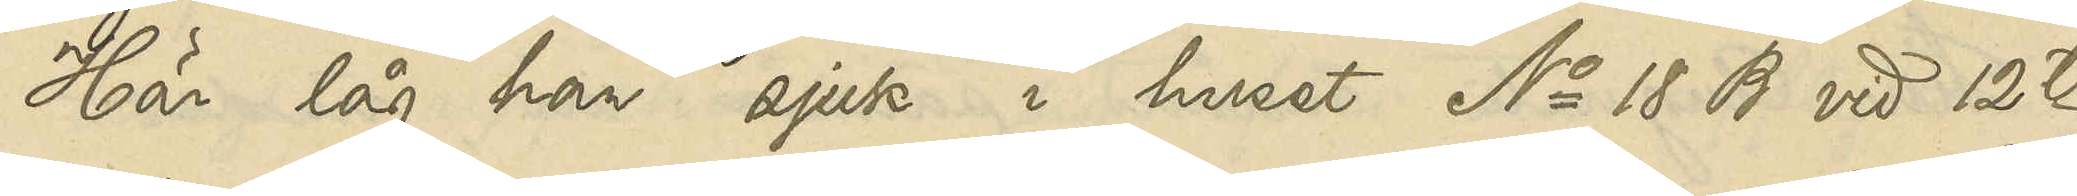Här låg han sjuk i huset No 18 B vid 12te
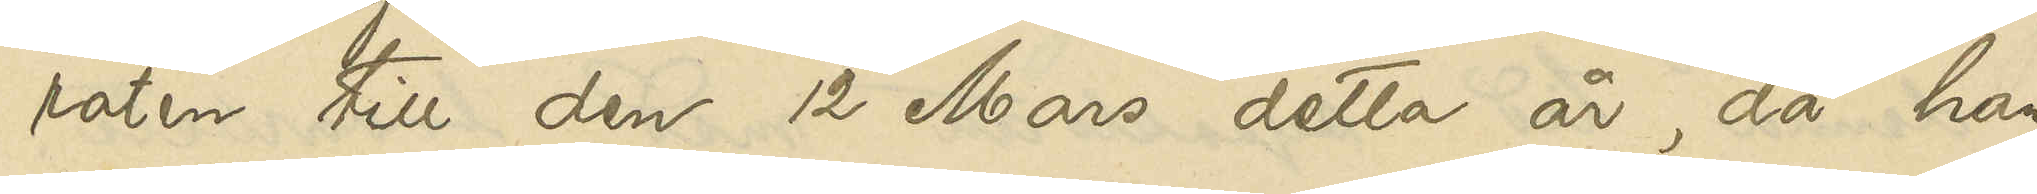roten till den 12 Mars detta år, då han
